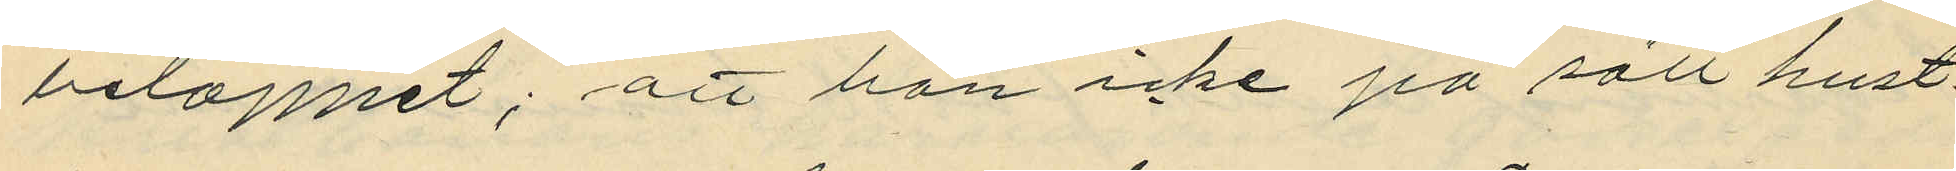beloppet, att han icke på sätt hust¬
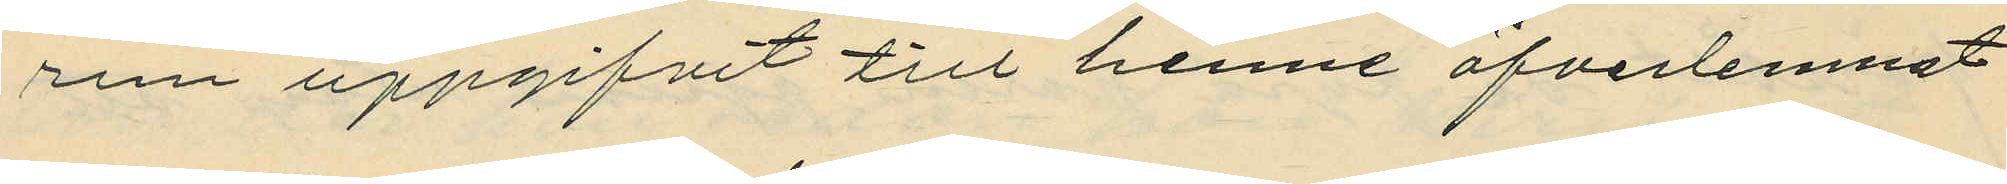run uppgifvit till henne öfverlemnat
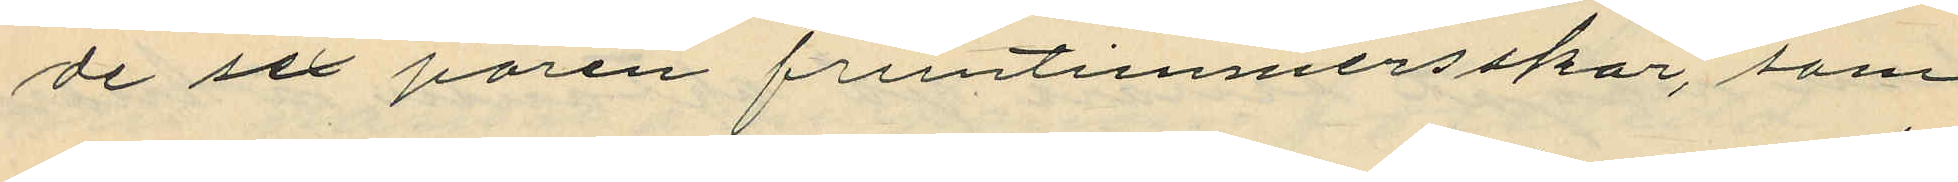de sex paren fruntimmersskor, som
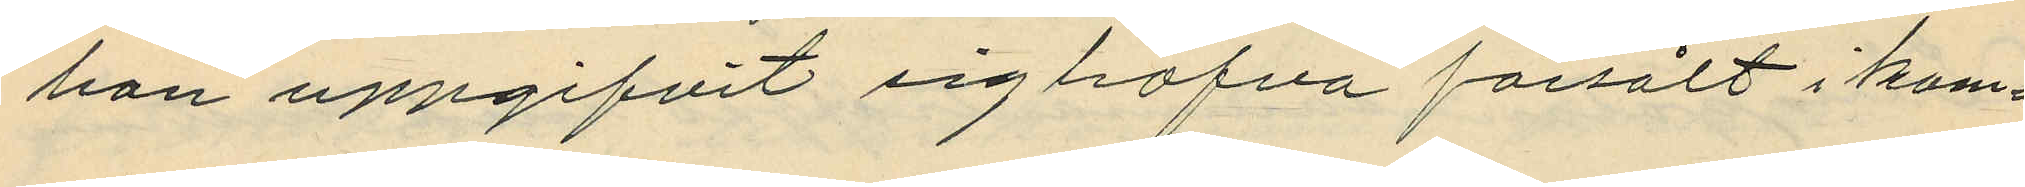hon uppgifvit sig hafva försålt i kom¬
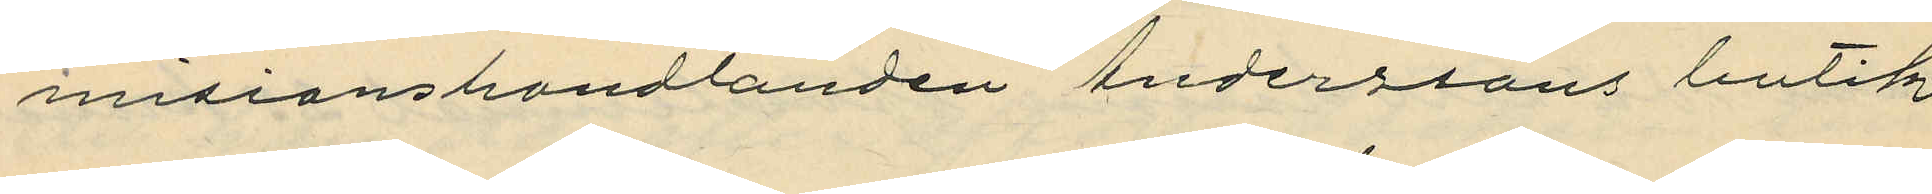misionshandlanden Anderssons butik
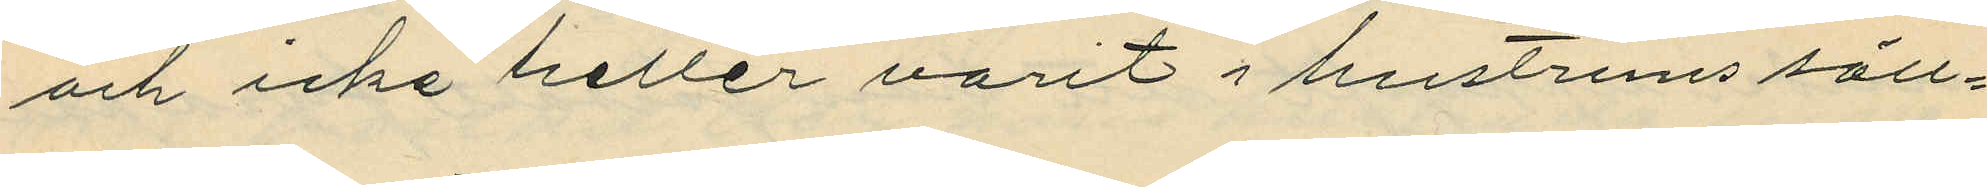och icke heller varit i hustruns säll¬
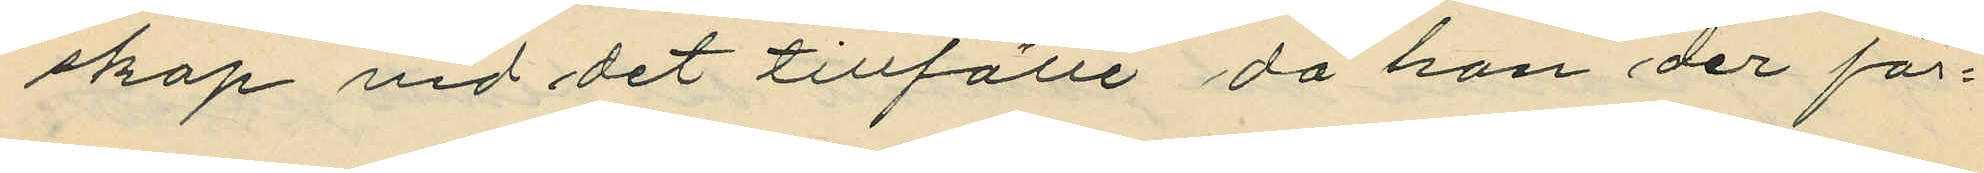skap vid det tillfälle då hon der för¬
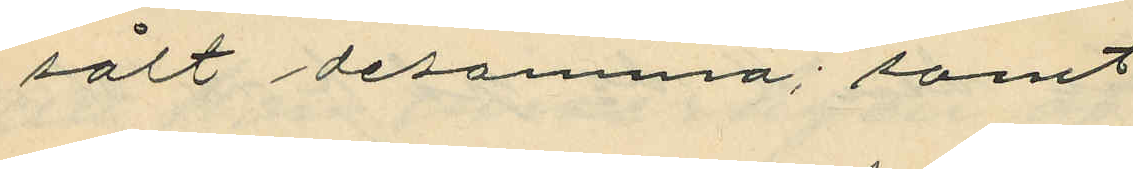sålt desamma; samt
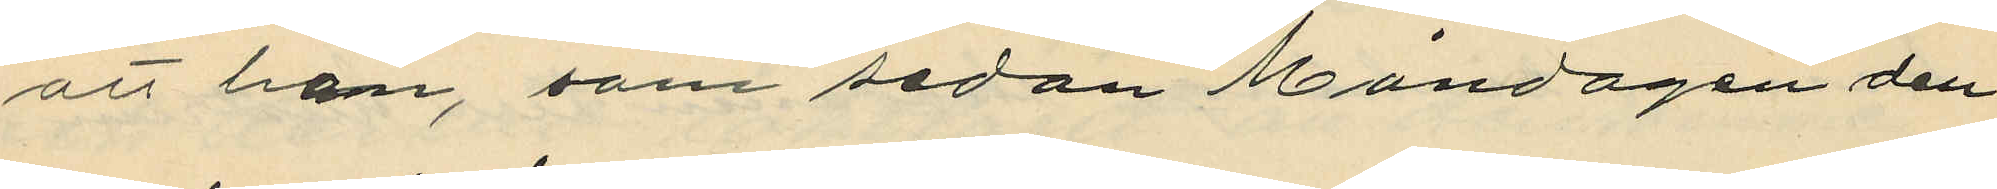att han, som sedan Måndagen den
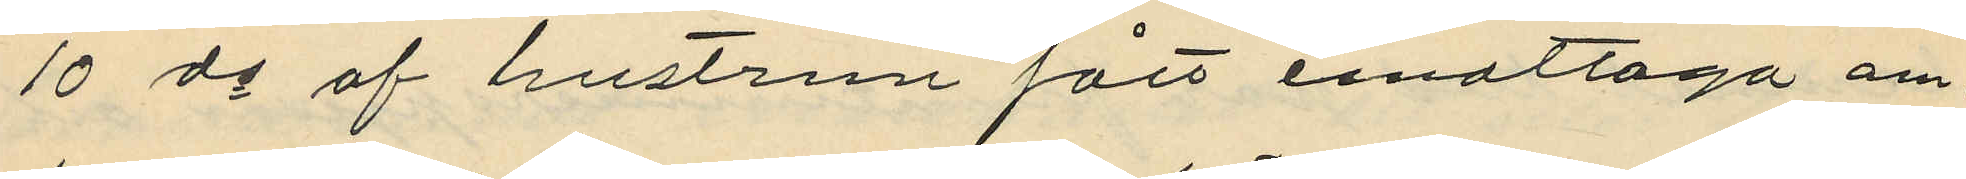10 ds af hustrun fått emottaga om¬
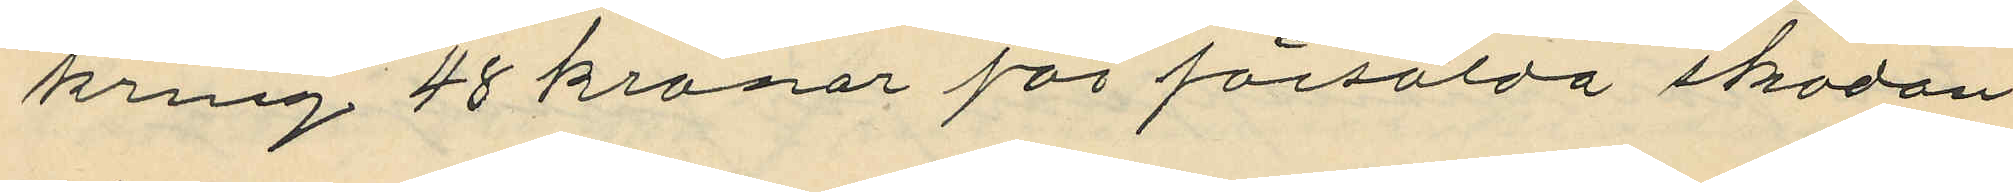kring 48 kronor för försålda skodon
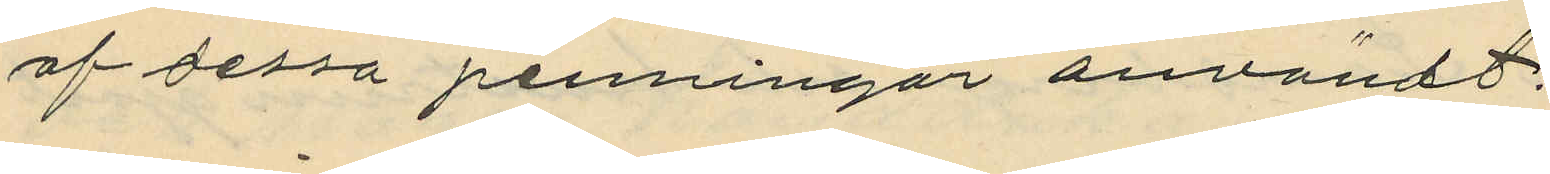af dessa penningar användt:
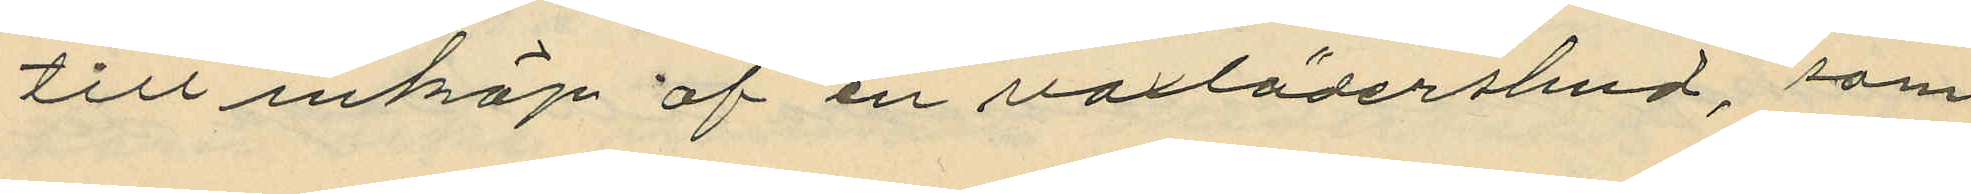till inköp av en vaxlädershud, som
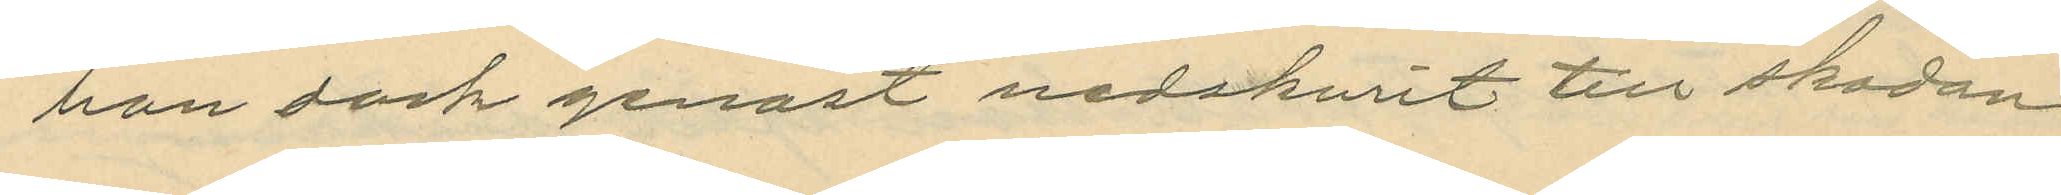han dock genast nedskurit till skodon
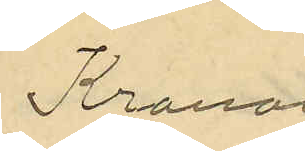Kronor
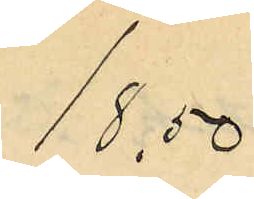18.50
